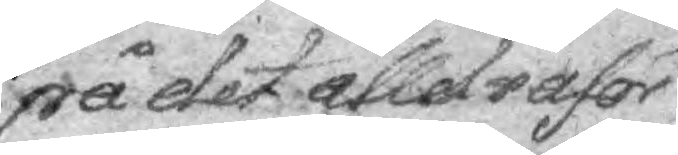på det alldraför¬
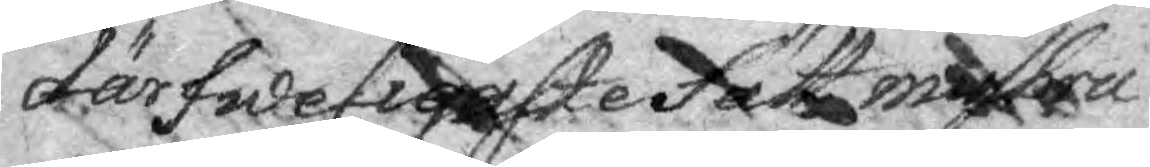därfweligaste sätt missbru¬
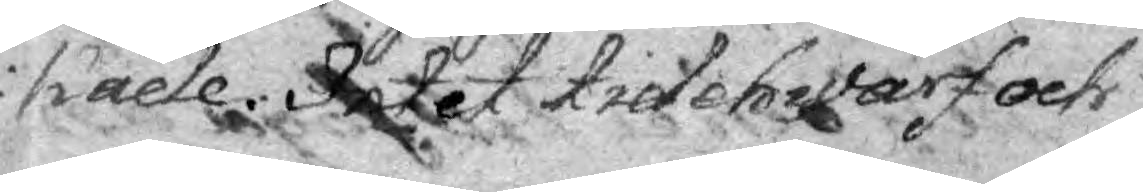kade. Intet tidehwarf och
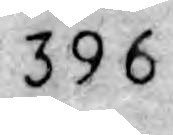396
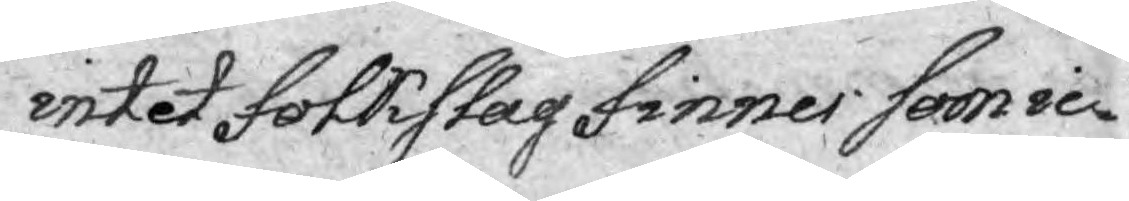intet Folkslag finnes som ic¬
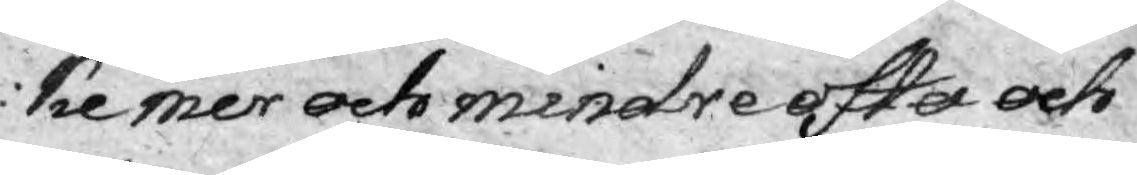ke mer och minare ofta och
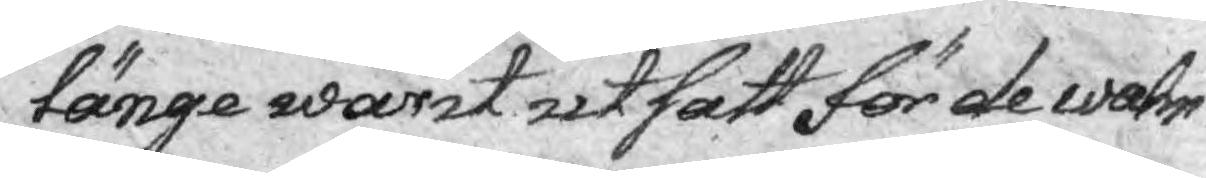länge warit utsatt för de wahn¬
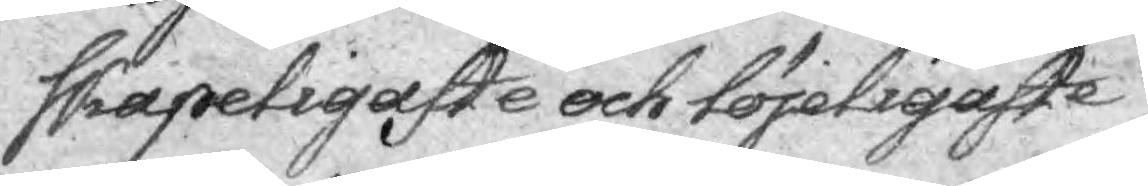skapeligaste och löjeligaste
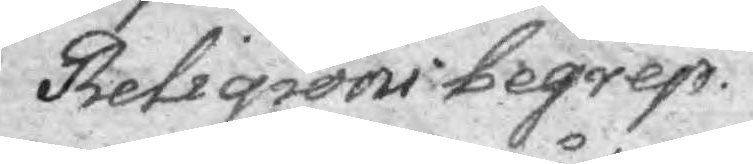Religioni begrep.
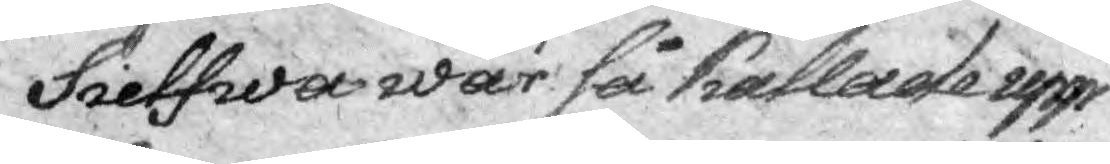Sielfwa war så kallade upp¬
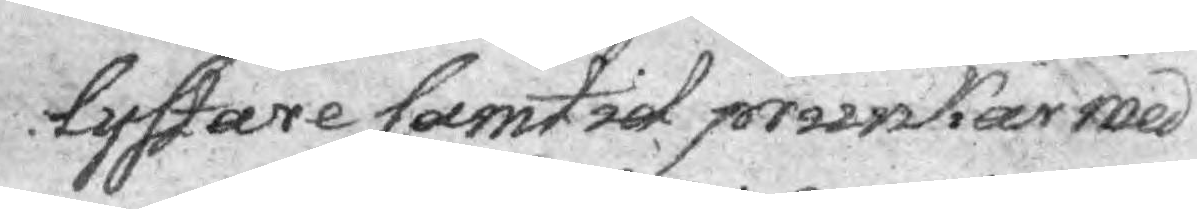lystare samtid prunkar med
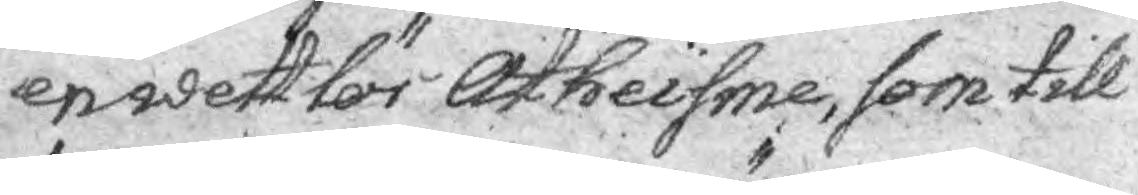enwett för Atheisme, som till
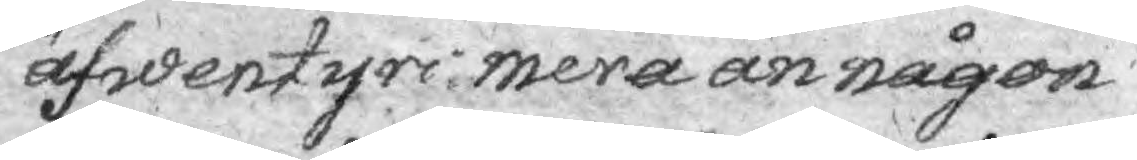äfwentyrs mera än någon
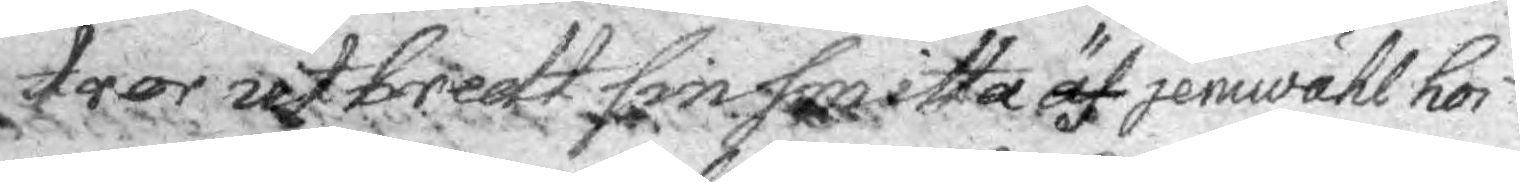tror utbredt sin smitta äf jemwähl hos
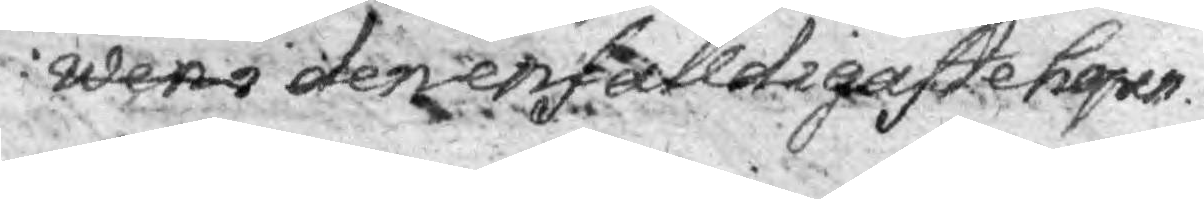wens den enfalldigaste hopen.
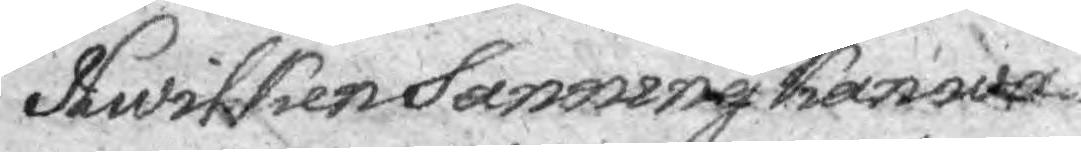Hwilken Sanning kan wa¬
